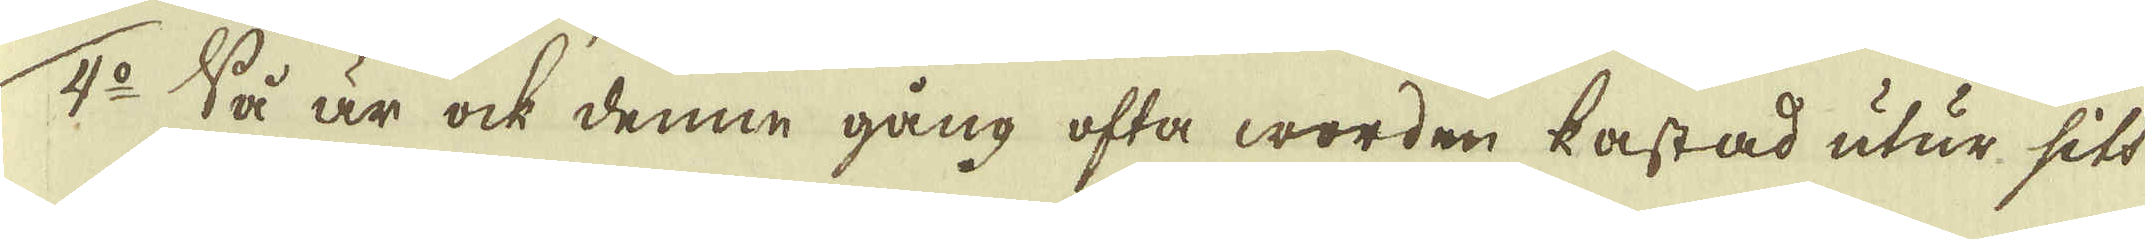4:o Så är ock denne gång ofta worden kastad utur sitt
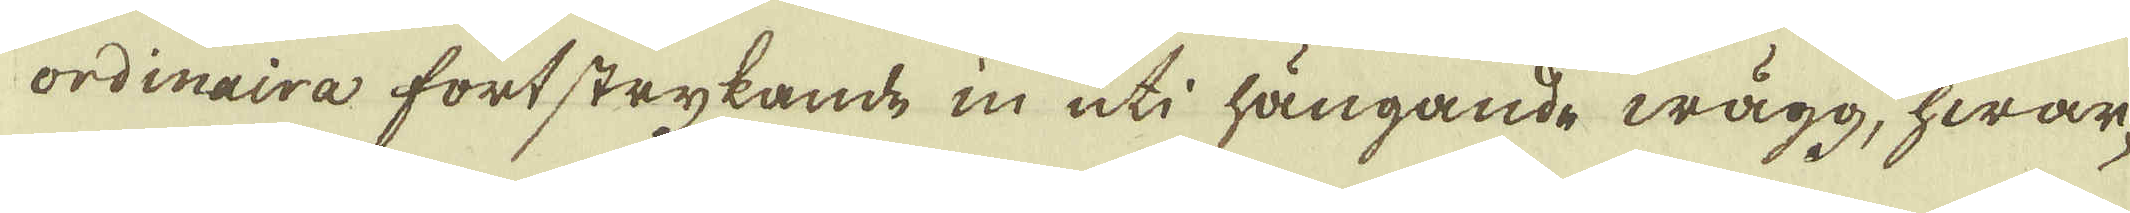ordinaira fortstrykande in uti hängande wägg, hwar-
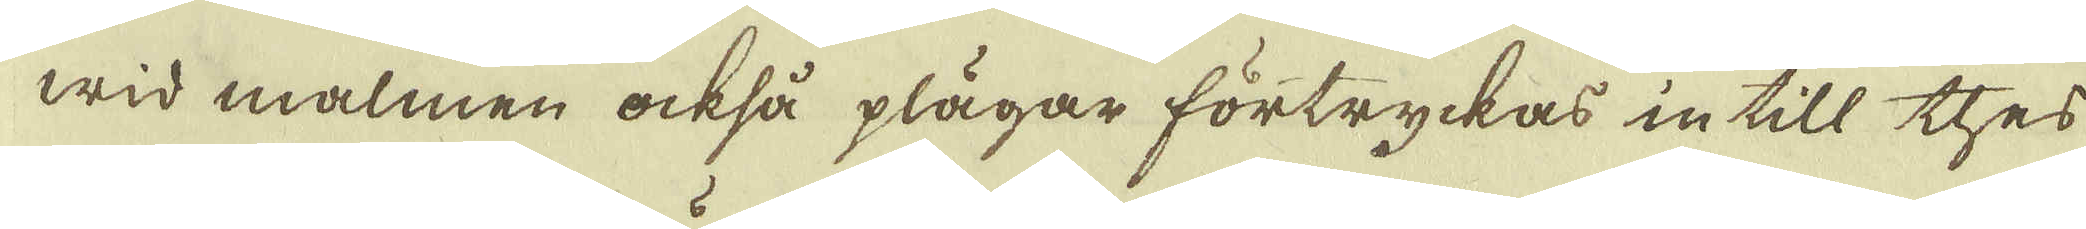wid malmen också plägar förtryckas intill thes
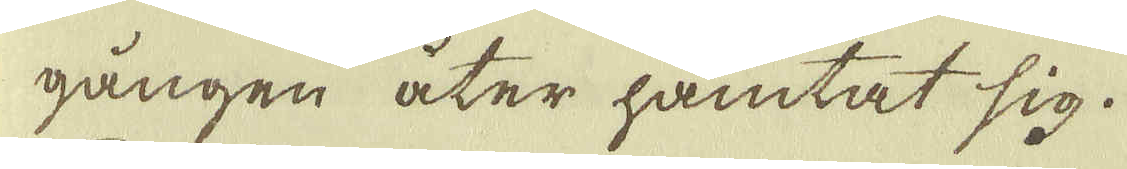gången åter hämtat sig.
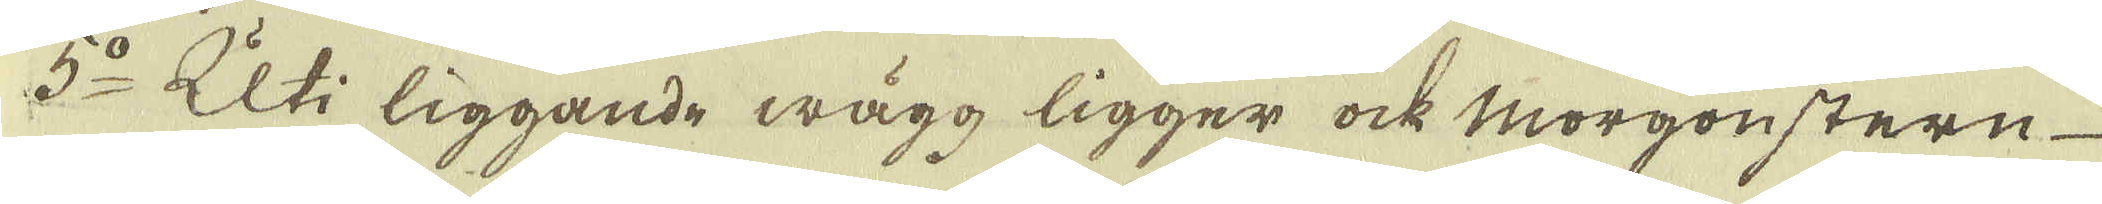5:o Uti liggande wägg ligger ock Morgonstern
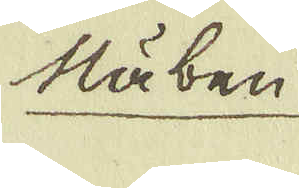Näben
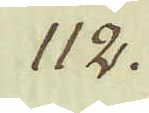112.
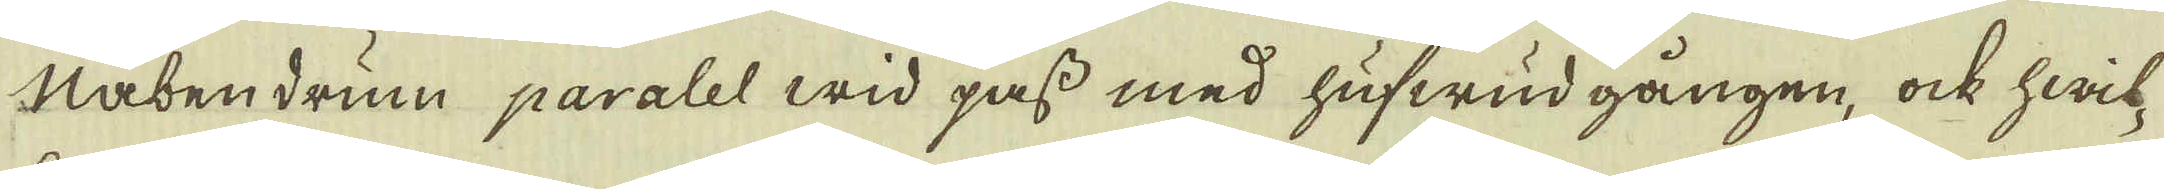Näben drum paralel wid pass med hufwud gången, ock hwil-
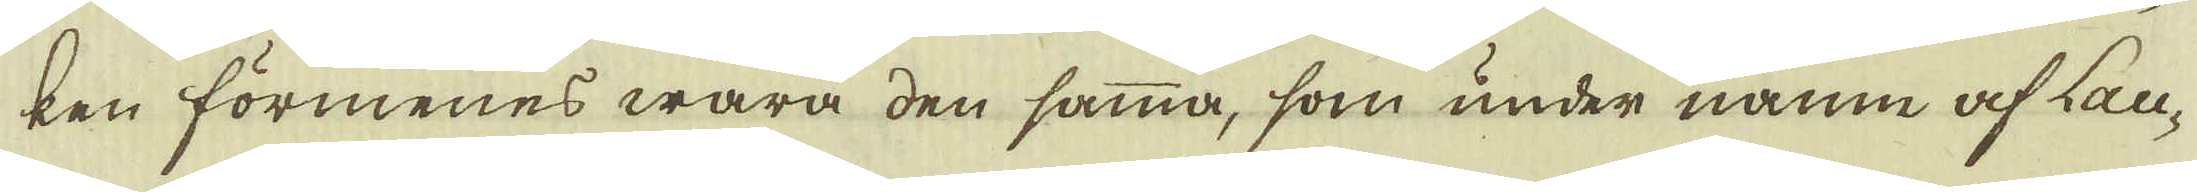ken förmenes wara den samma, som under namn af Lan-
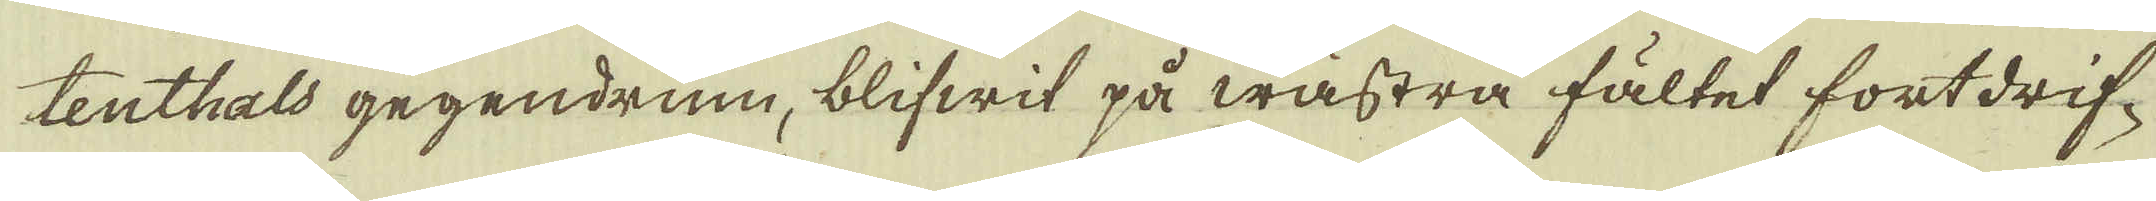tenthals gegendrum, blifwit på wästra fältet fortdrif-
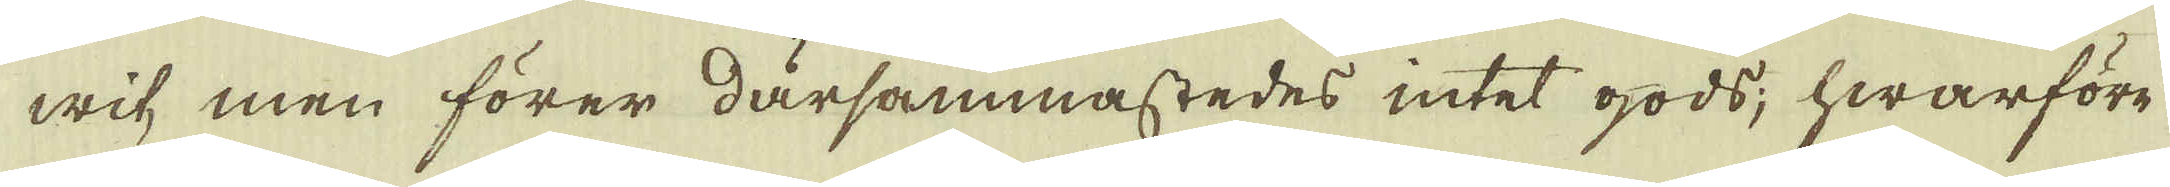wit, men förer därsammastedes intet gods; hwarföre
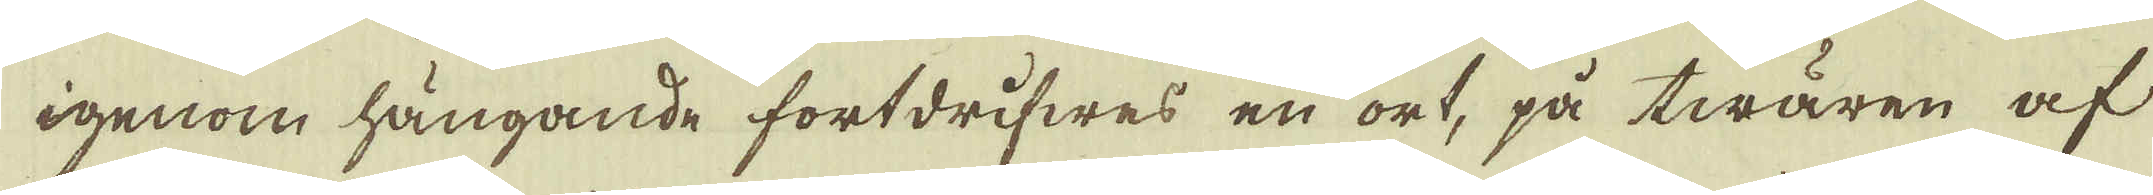igenom hängande fortdrifwes en ort, på twären af
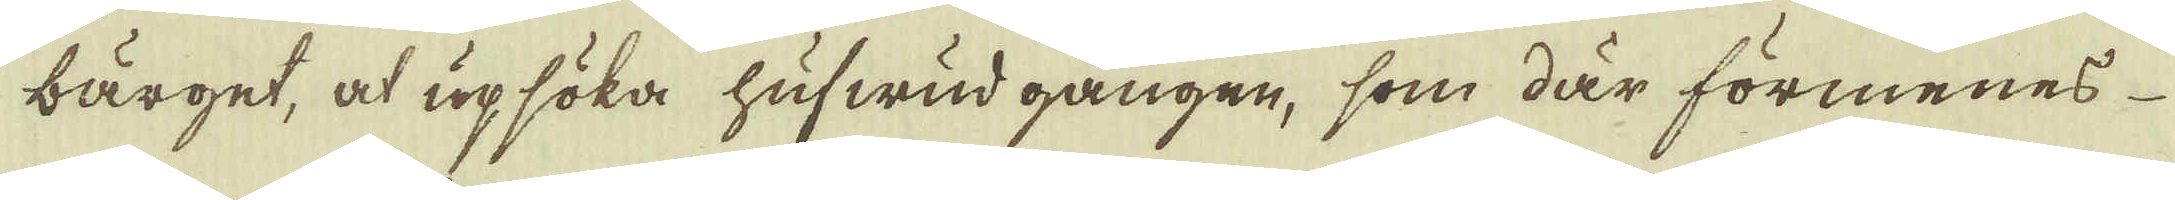bärget, at upsöka hufwud gången, som där förmenes
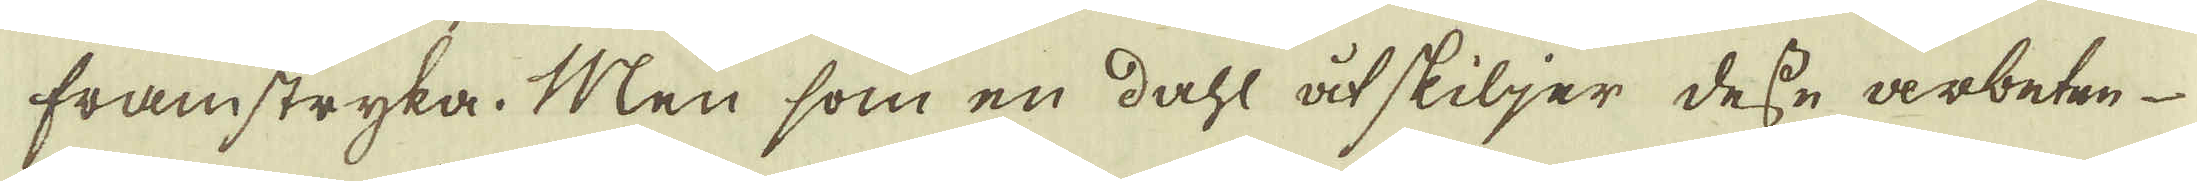framstryka. Men som en dahl åtskiljer desse arbeten
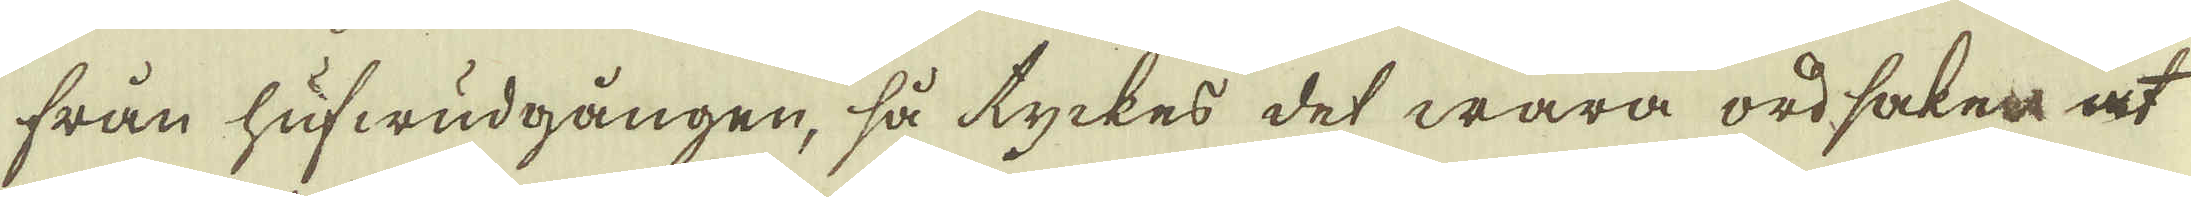från hufwudgången, så tyckes det wara ordsaken at
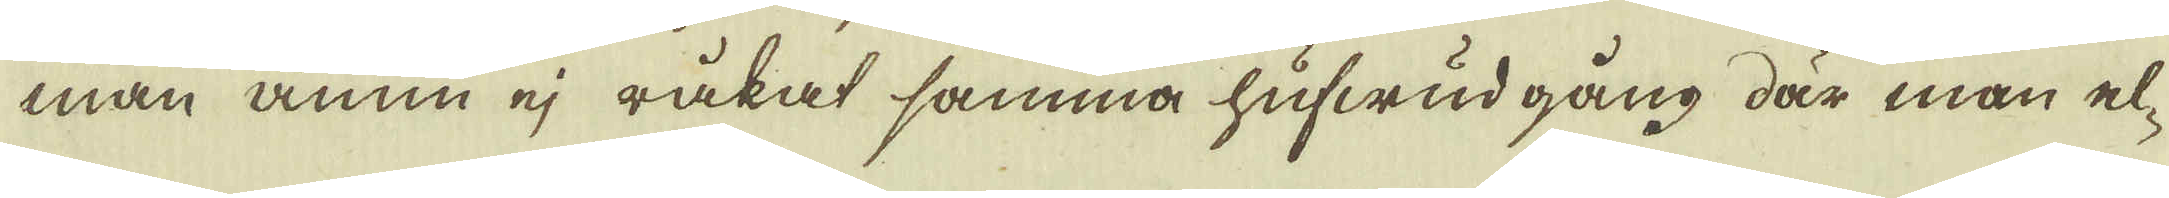man ännu ej råkat samma hufwud gång där man el-
